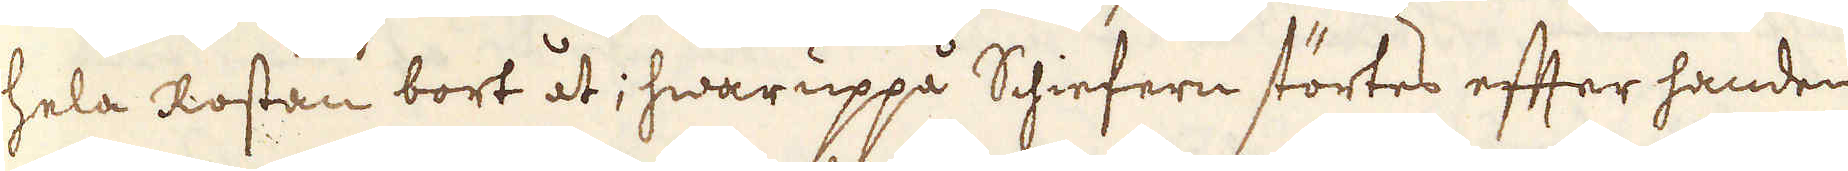hela Rostan bort åt; hwaruppå Schiefern störtes efter handen
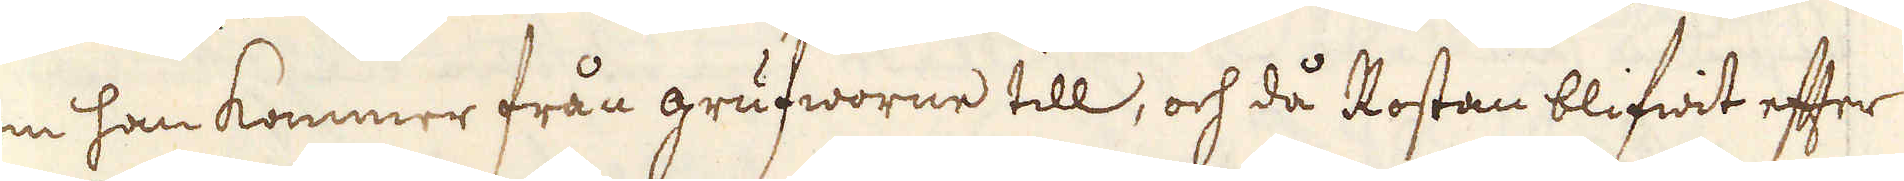som han kommer från grufworne till, och då Rostan blifwit efter
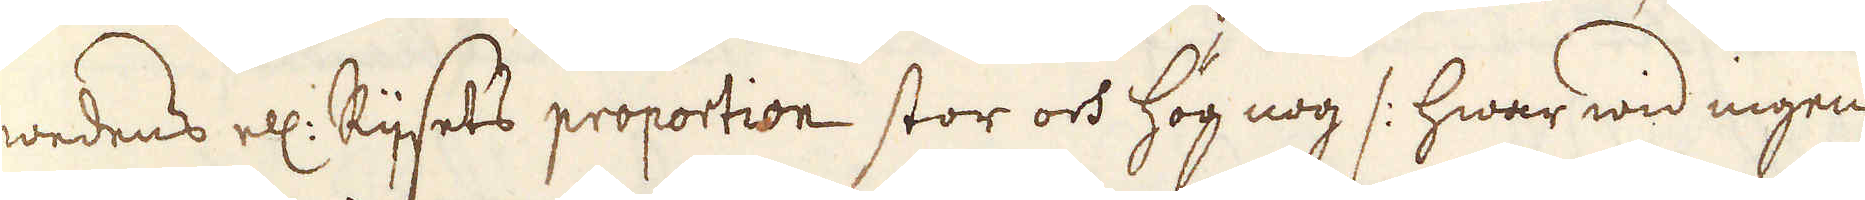wedens ell: Rijsets proportion stor och hög nog /: hwar wid ingen
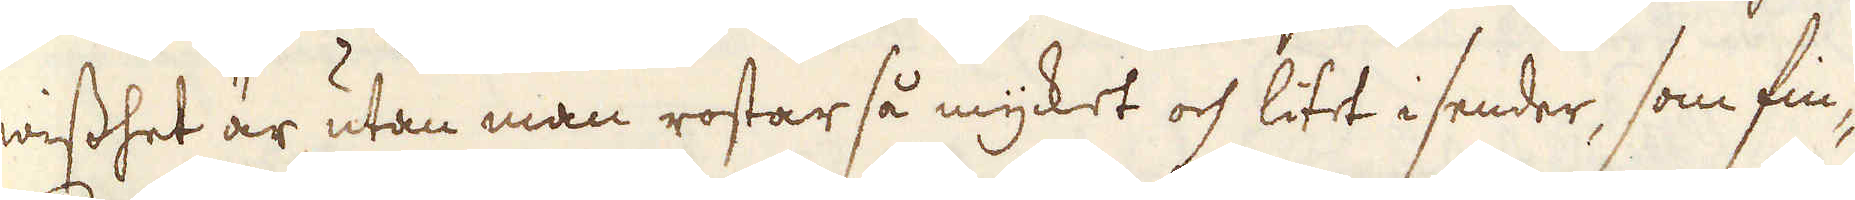wisshet är, utan man rostar så mycket och litet i sender, som fin-
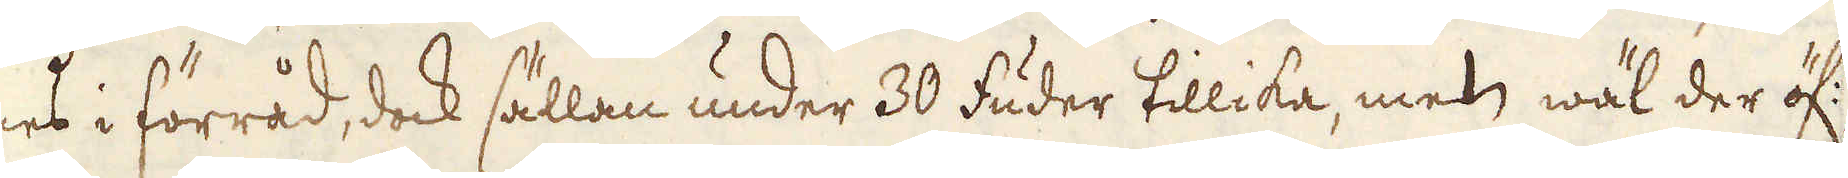nes i förråd, dock sällan under 30 fuder tillika, men wäl der öf:,
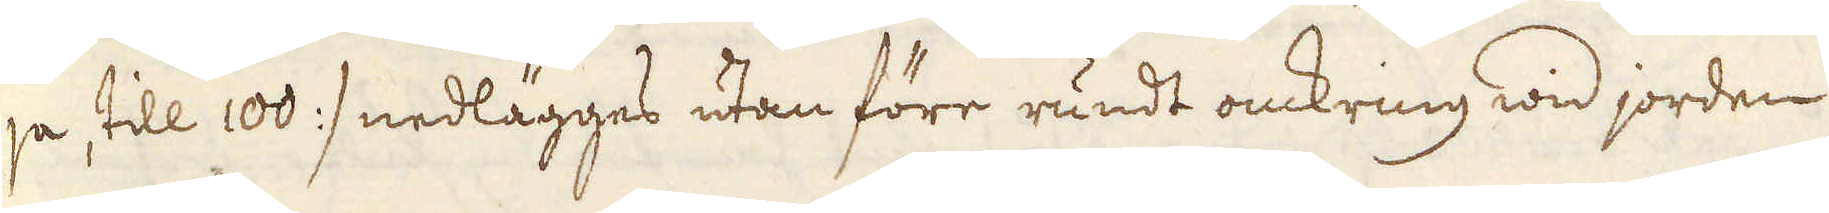ja, till 100 :/ nedlägges utan före rundt omkring wid jorden
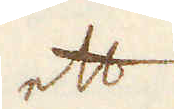ett
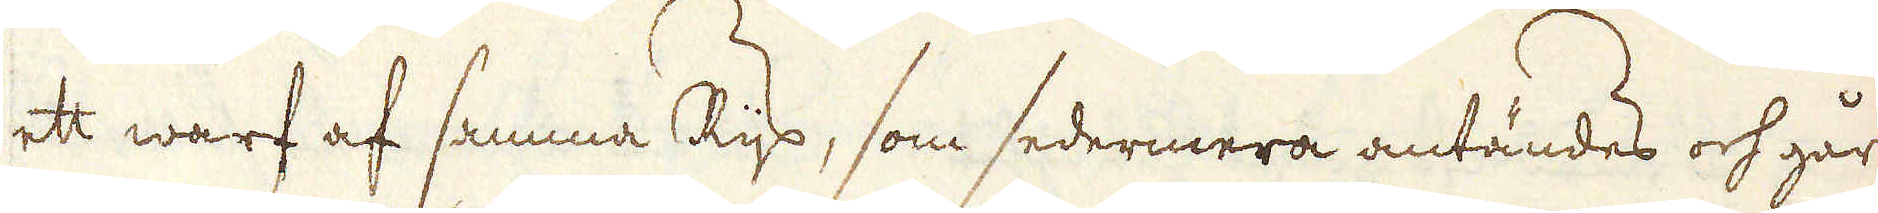ett warf af samma Rijs, som sedermera antändes och går
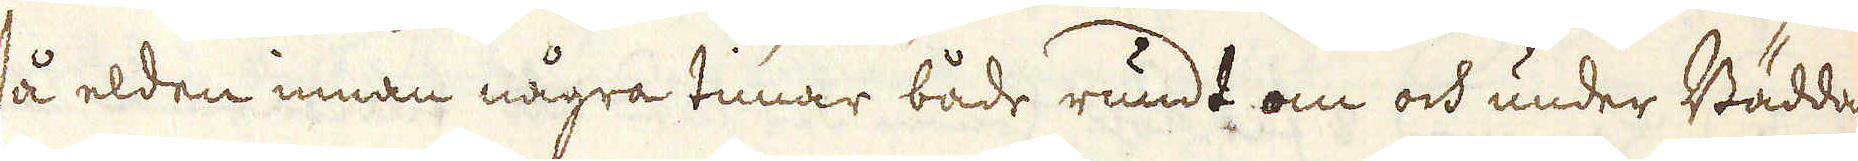så elden innan några timar både rundt om och under Bädda
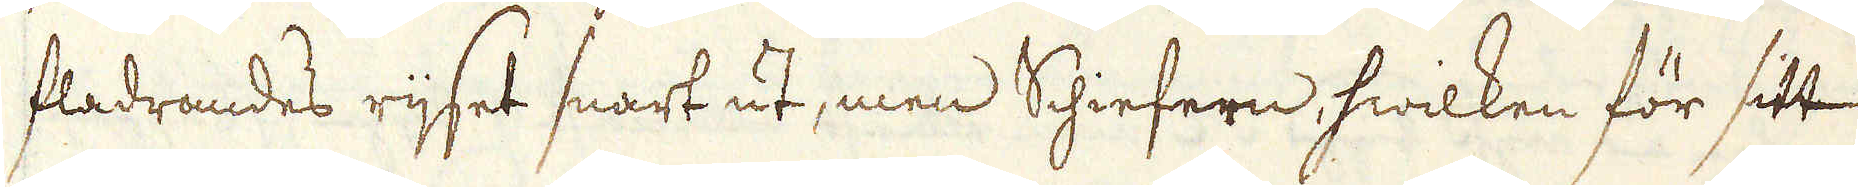fladrandes rijset snart ut, men Schiefern hwilken för sitt
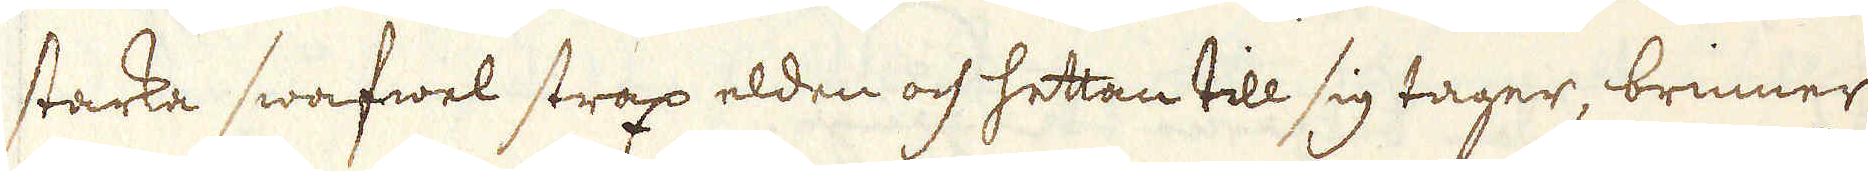starka swafwel strax elden och hettan till sig tager, brinner
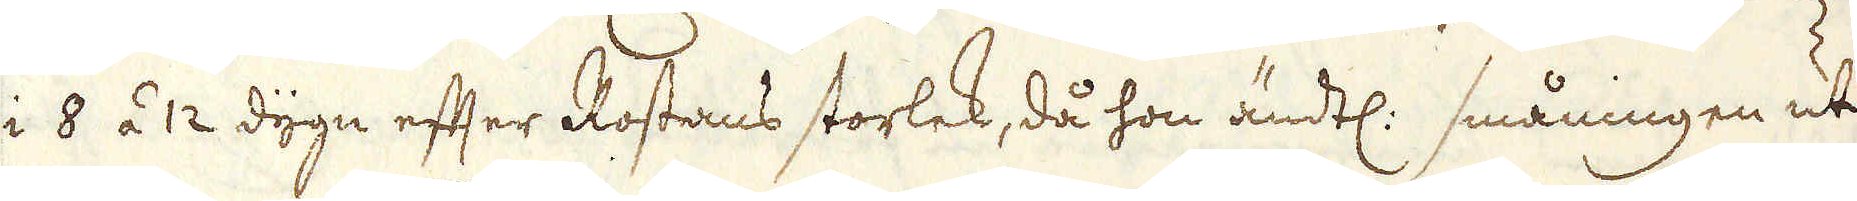i 8 á 12 dygn efter Rostans storlek, då hon ändtl: småningen ut-
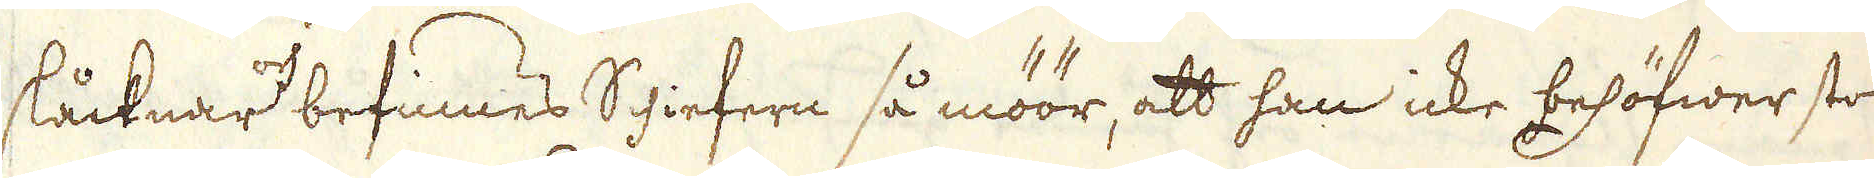slåcknar och befinnes Shiefern så möör, att han icke behöfwer stor
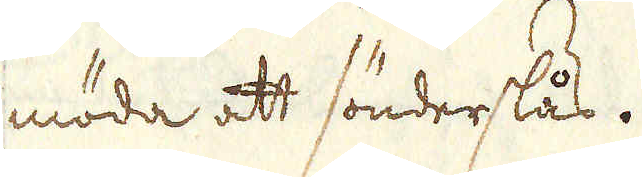möda att sönderslås.
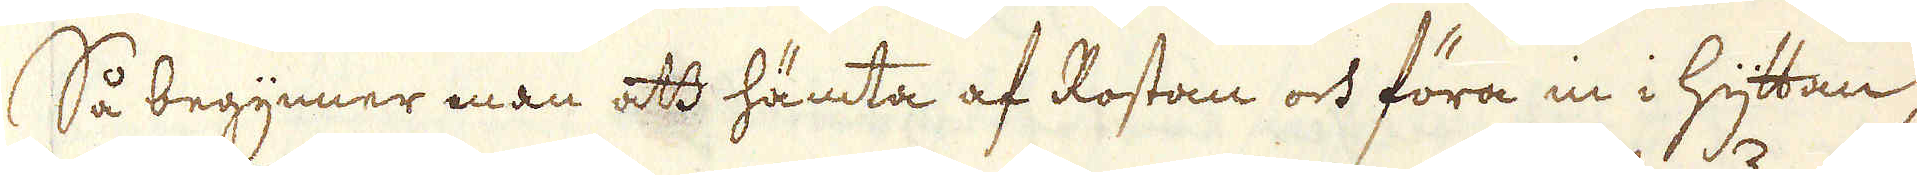Så begynner man att hämta af Rostan och föra in i Hyttan,
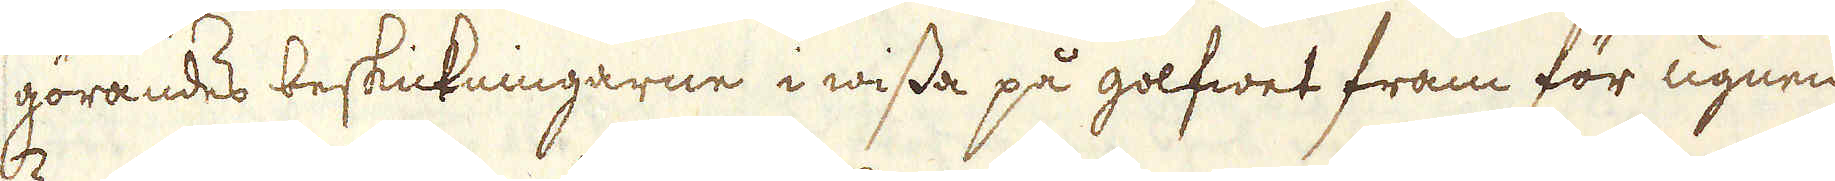görandes beskickningarne i wissa på golfwet fram för ugnen
